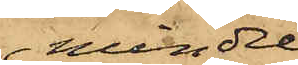mindre
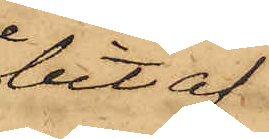bit af
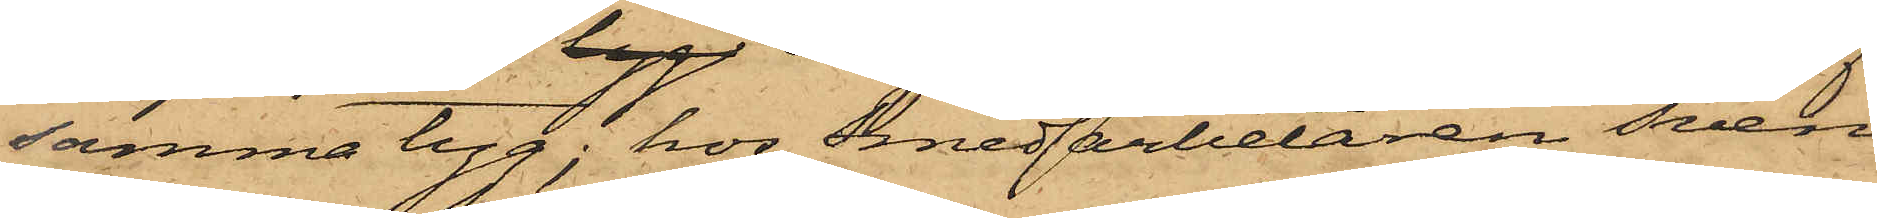samma tyg; hos Smedarbetaren Sven
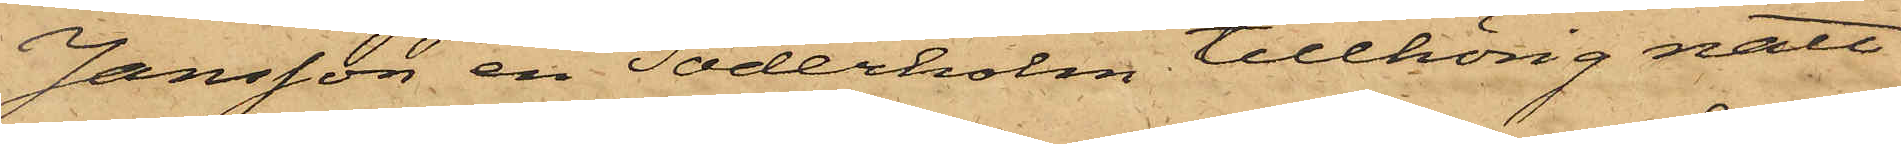Jansson en Söderholm tillhörig natt¬
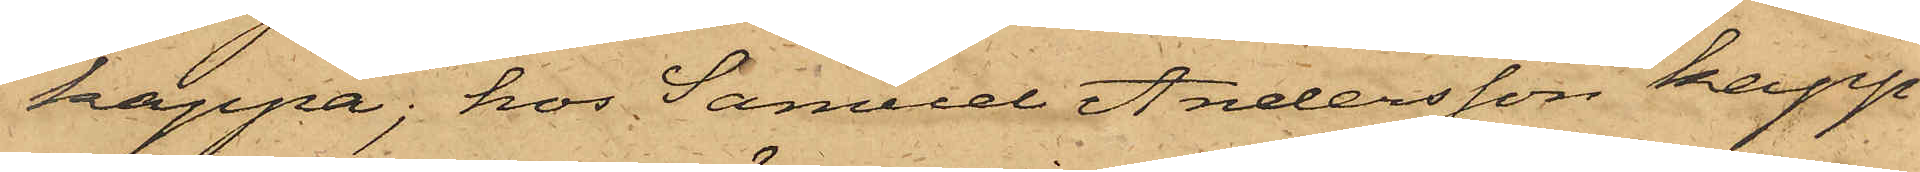kappa; hos Samuel Andersson kapp¬
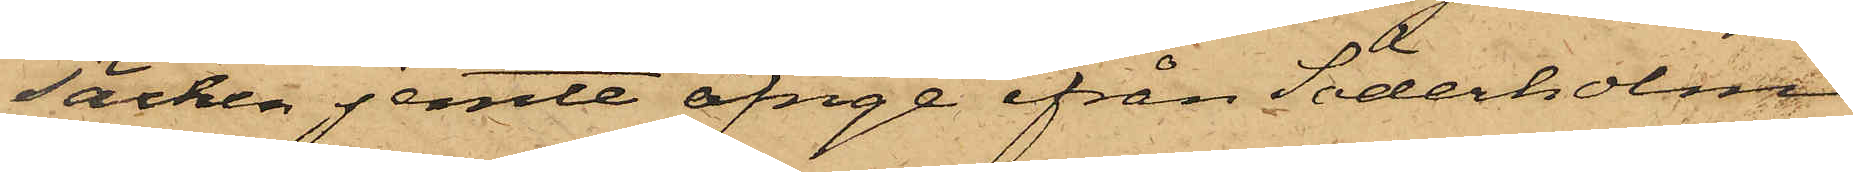säcken jemte öfrige ifrån Söderholm
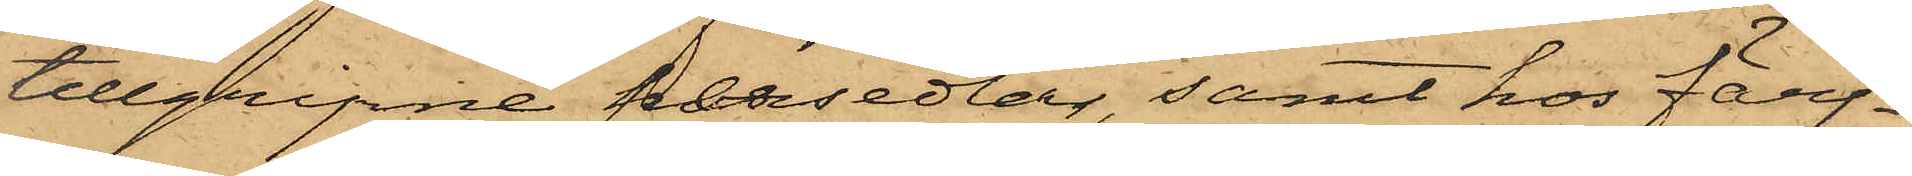tillgripne persedlar, samt hos Färj¬
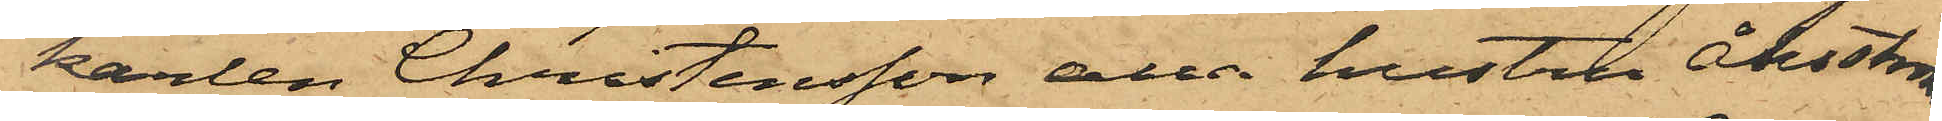karlen Christensson alla hustru Åhsström
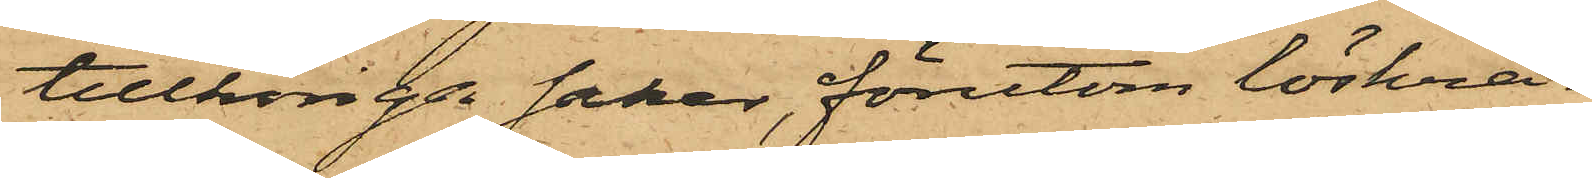tillhörige saker, förutom löskra¬
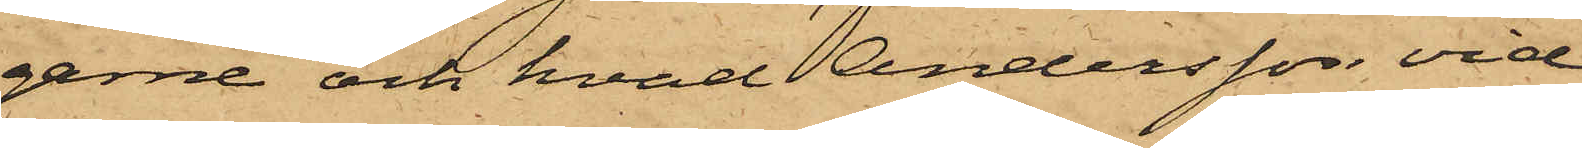garne och hvad Andersson vid
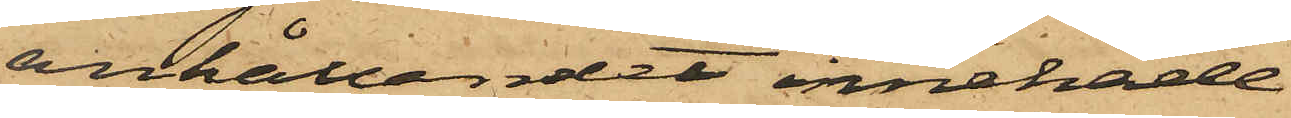anhållandet innehade.
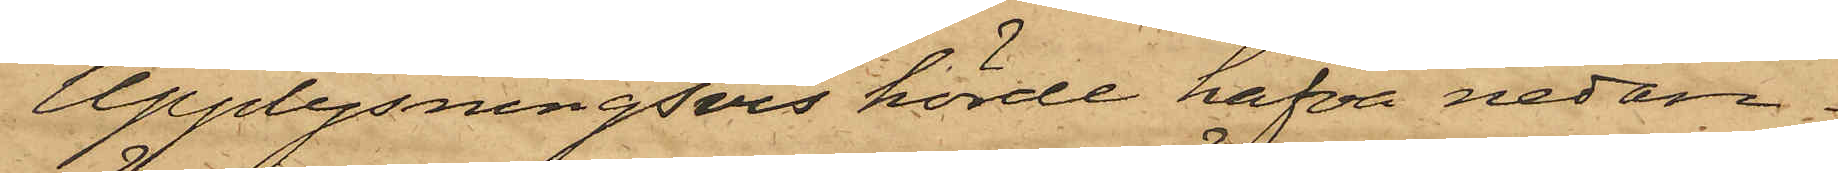Upplysningsvis hörde hafva nedan¬
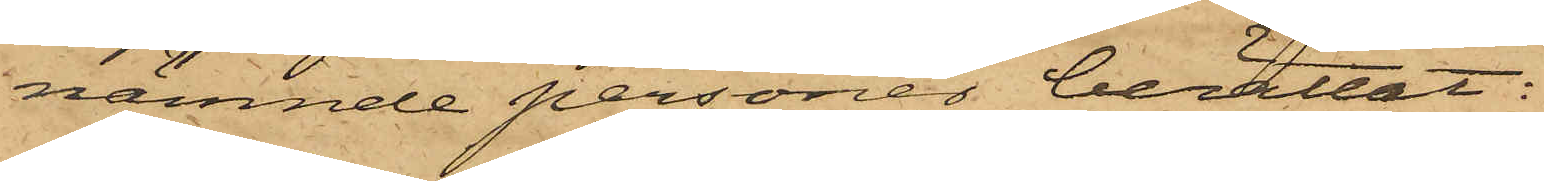nämnde personer berättat:
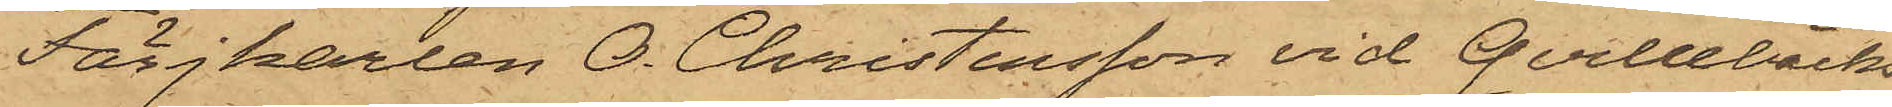Färjkarlen O. Christensson vid Qvillebäcks
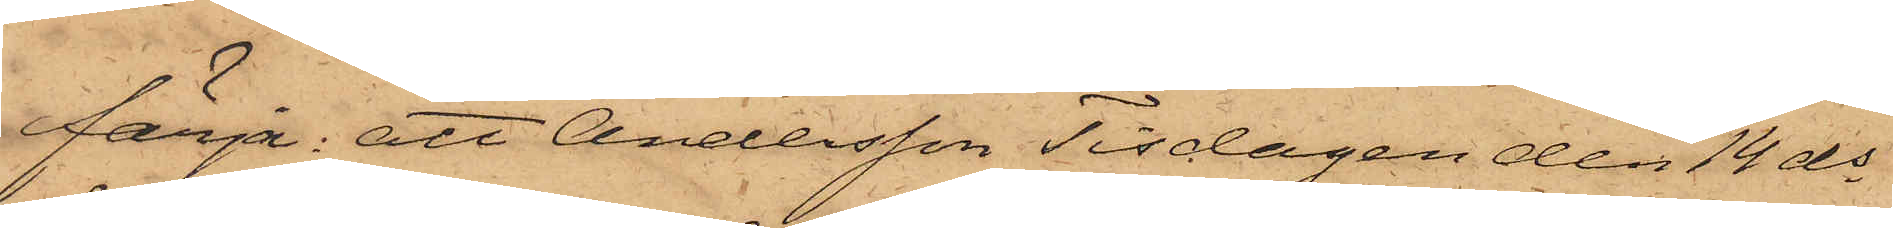färja: att Andersson Tisdagen den 14 ds
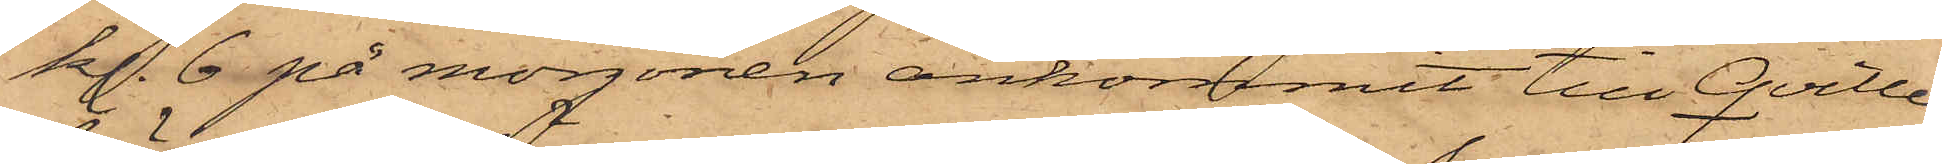kl. 6 på morgonen ankommit till Qville¬
